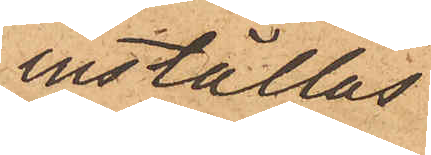inställas.
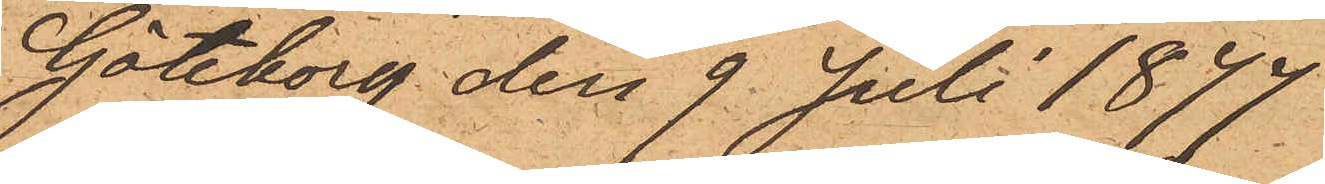Göteborg den 9 Juli 1877.
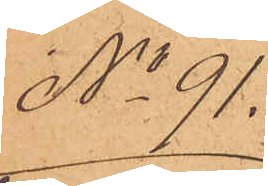No 91.
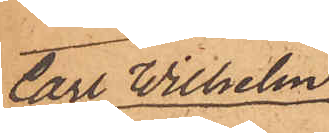Carl Wilhelm
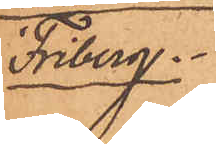Friberg
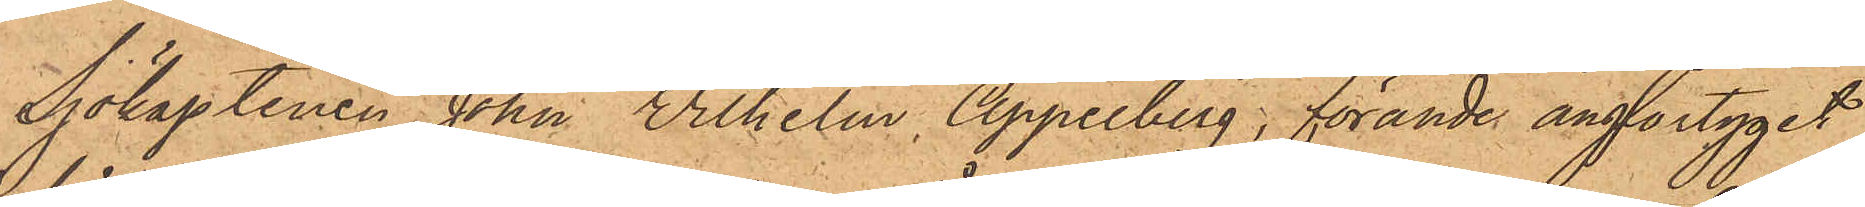Sjökaptenen John Wilhelm Appelberg, förande ångfartyget
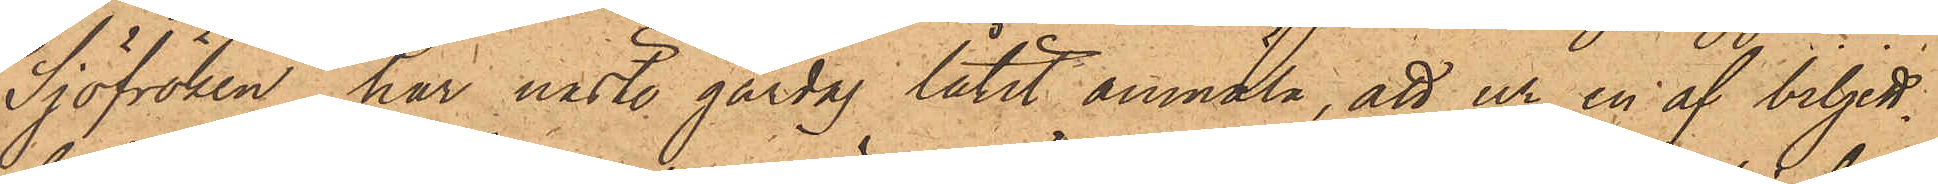"Sjöfröken", har nästl. gårdag låtit anmäla, att ur en af biljett¬
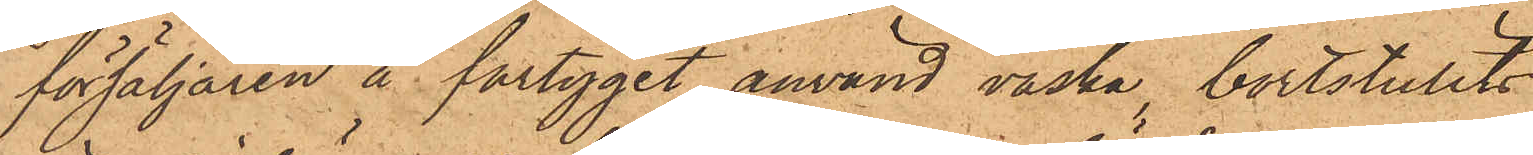försäljaren å fartyget använd väska, bortstulits
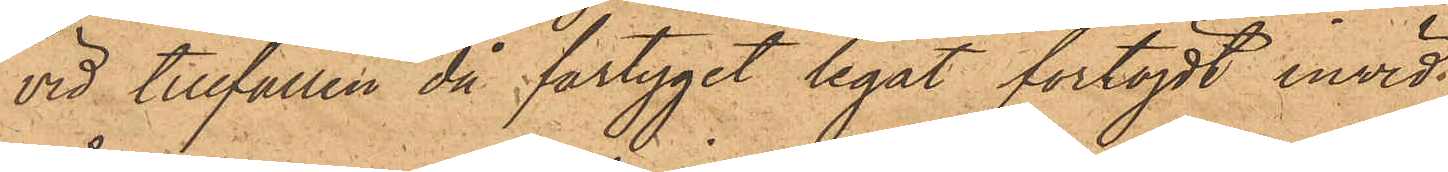vid tillfällen då fartyget legat förtöjdt invid
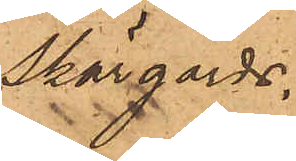skärgårds¬
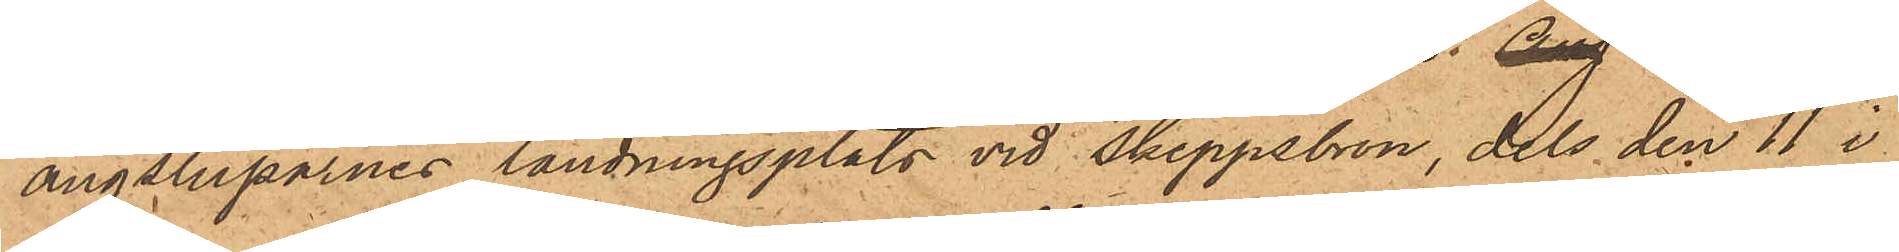ångsluparnes landningsplats vid Skeppsbron, dels den 11 i
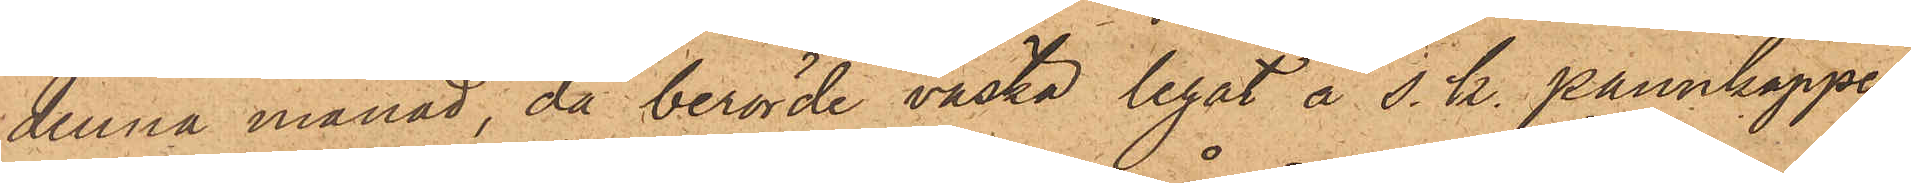denna månad, då berörde väska legat å s. k. pannkappen,
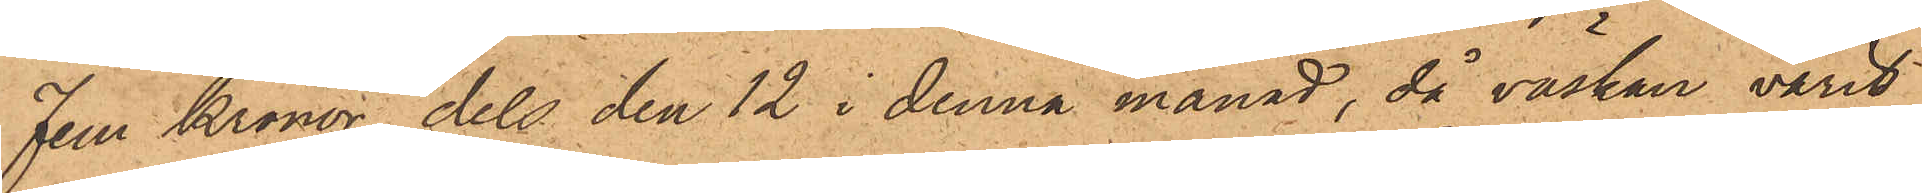Fem Kronor dels den 12 i denna månad, då väskan varit
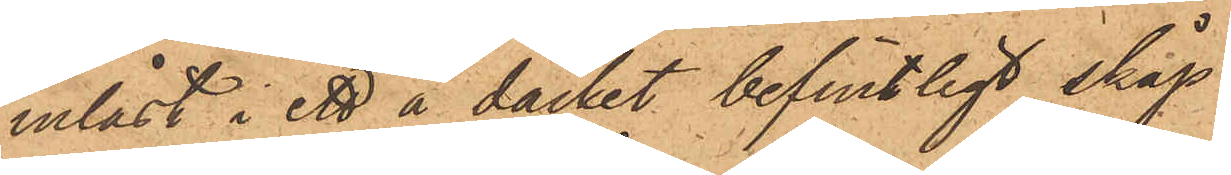inlåst i ett å däcket befintligt skåp
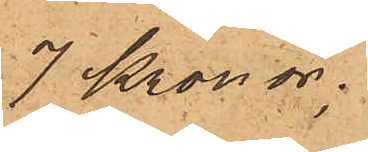7 Kronor;
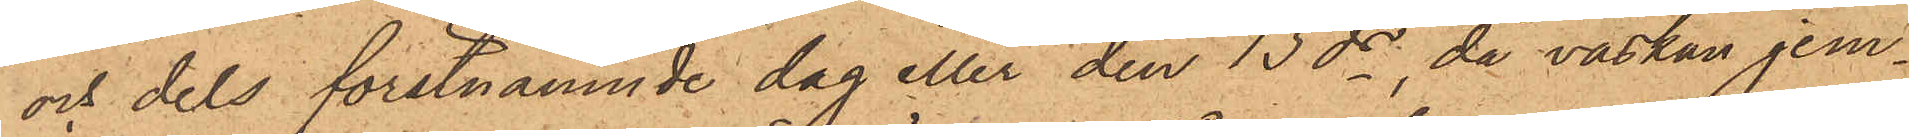och dels förstnämnde dag eller den 13ds, då väskan jem¬
